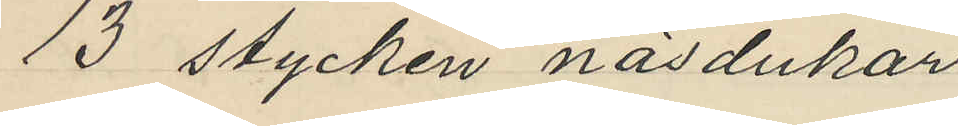13 stycken näsdukar
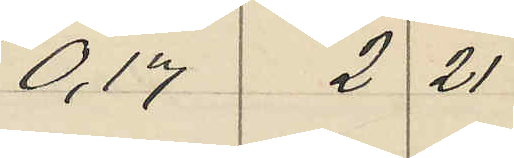0,17 2 21
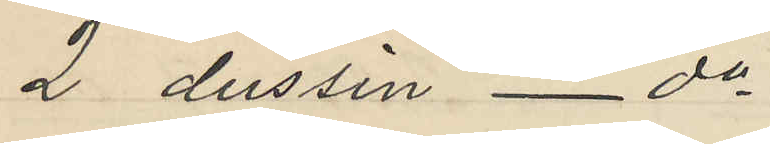2 dussin _ do
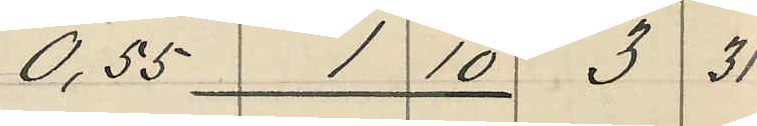0,55 1 10 3 31
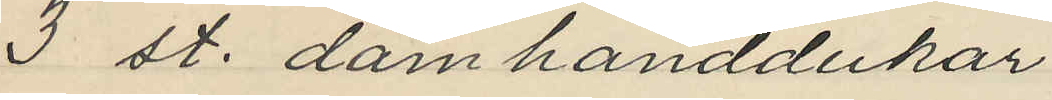3 st. damhanddukar
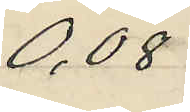0,08
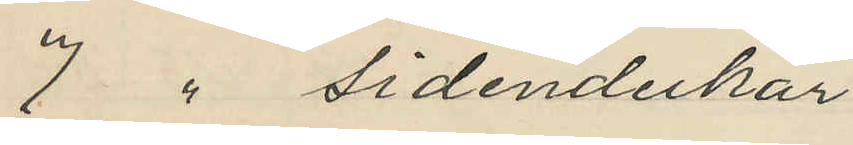7  sidendukar
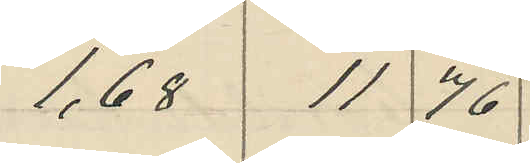1,68 11 76
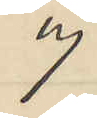9
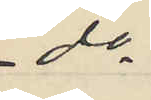do
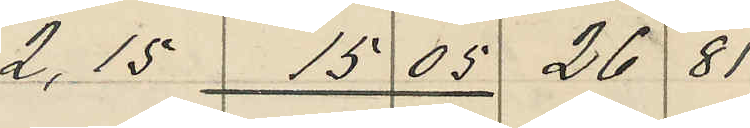2,15 15 05 26 81
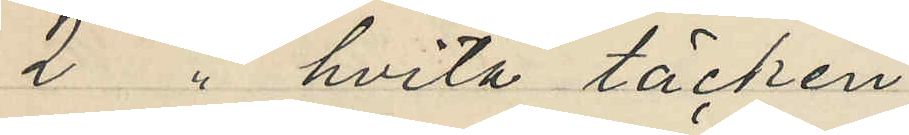2 " hvita täcken
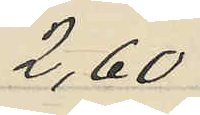2,60
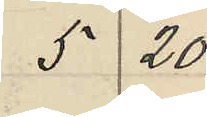5 20
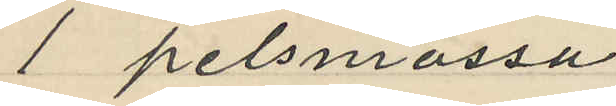1 pelsmössa
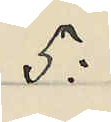5:
